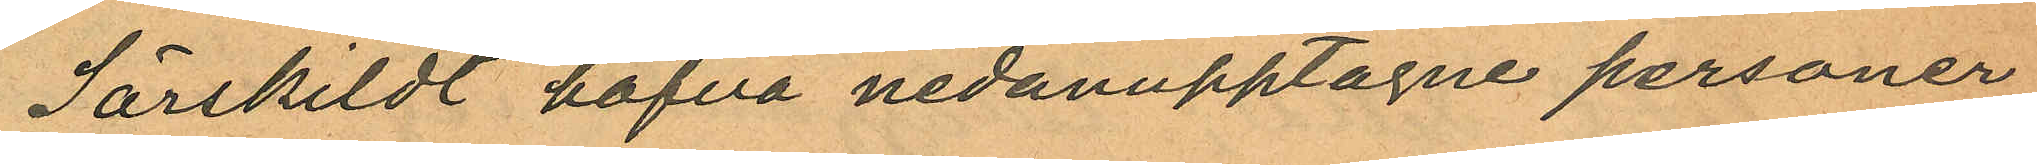Särskildt hafva nedanupptagne personer
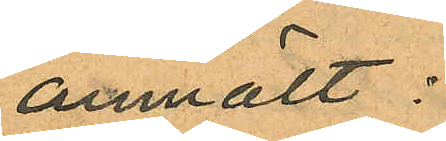anmält:
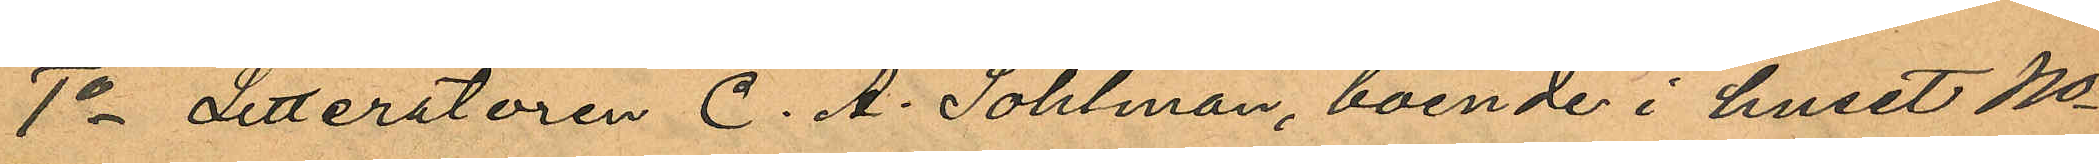1o Litteratören C. A. Sohlman, boende i huset No
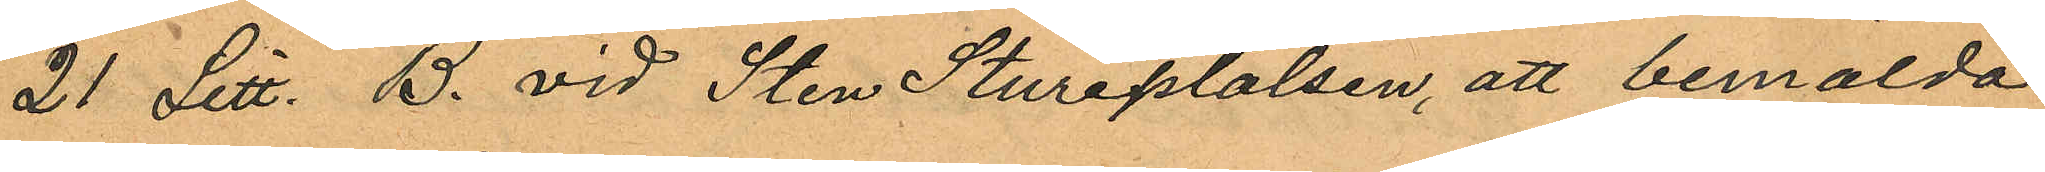21 Litt. B. vid Sten Stureplalsen, att bemälda
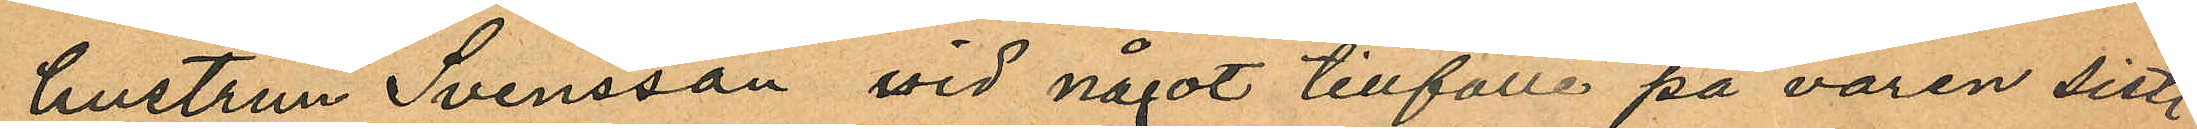hustrun Svensson vid något tillfälle på våren sistl.
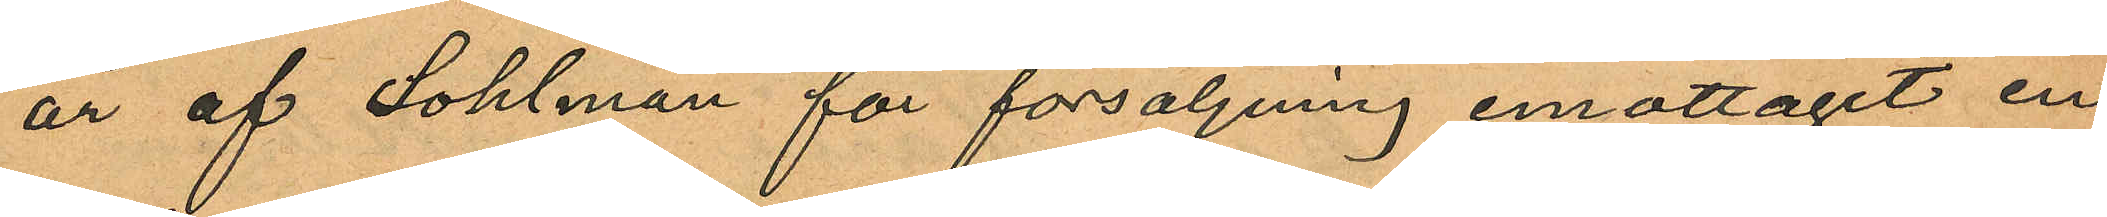år af Sohlman för försäljning emottagit en
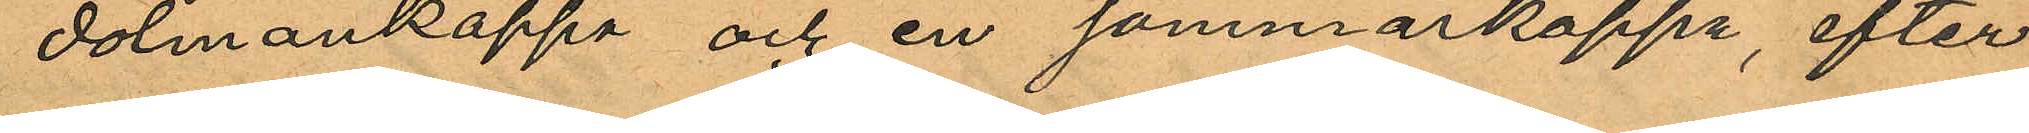dolmankappa och en sommarkappa, efter
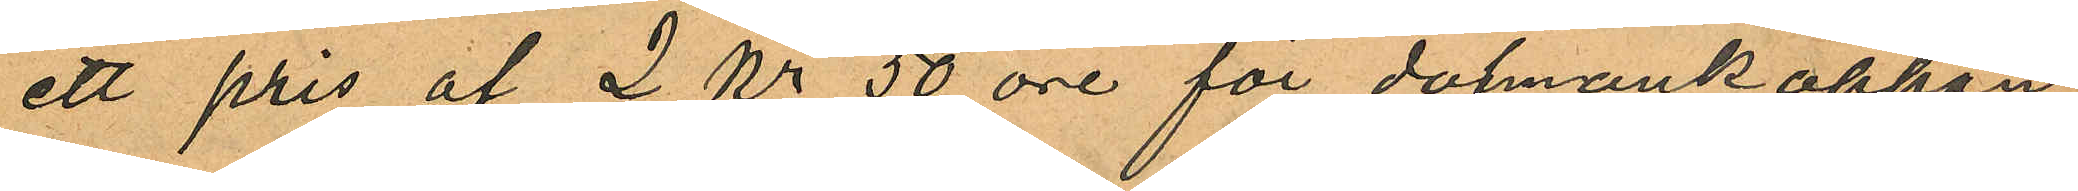ett pris af 2 Kr 50 öre för dolmankappan
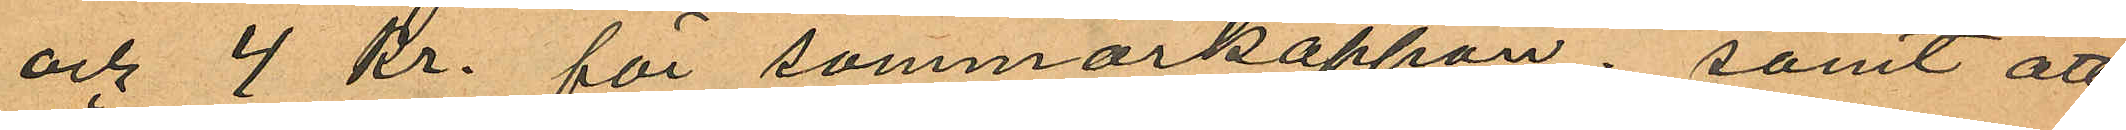och 4 kr. för sommarkappan; samt att
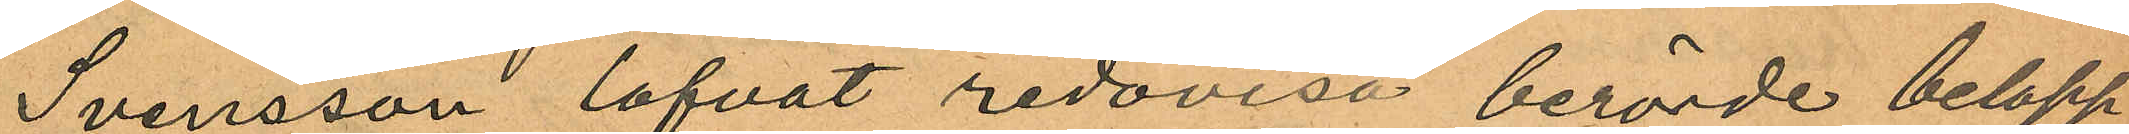Svensson lofvat redovisa berörde belopp
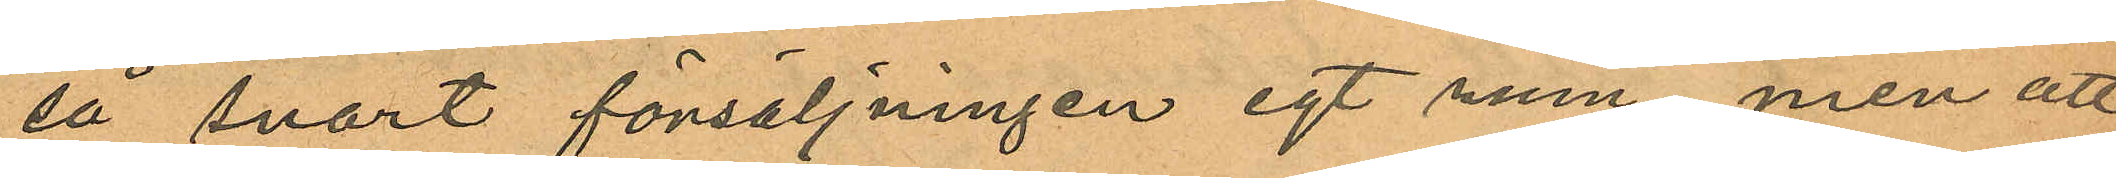så snart försäljningen egt rum, men att
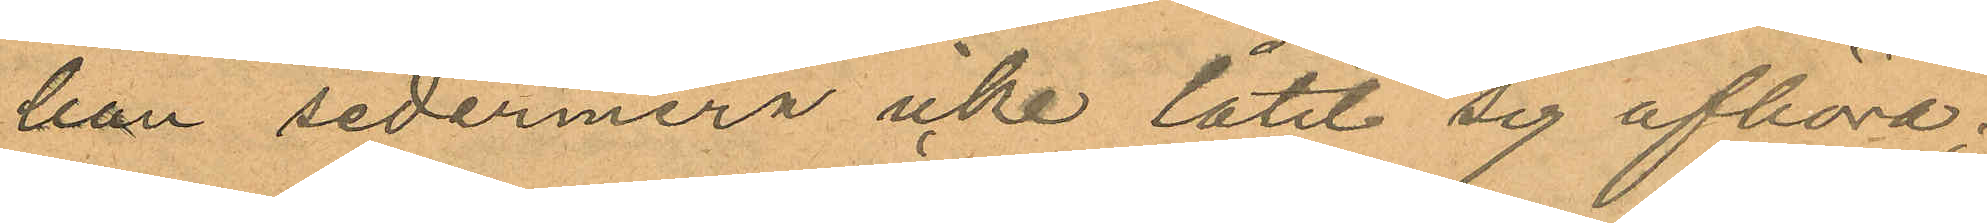hon sedermera icke låtit sig afhöra;
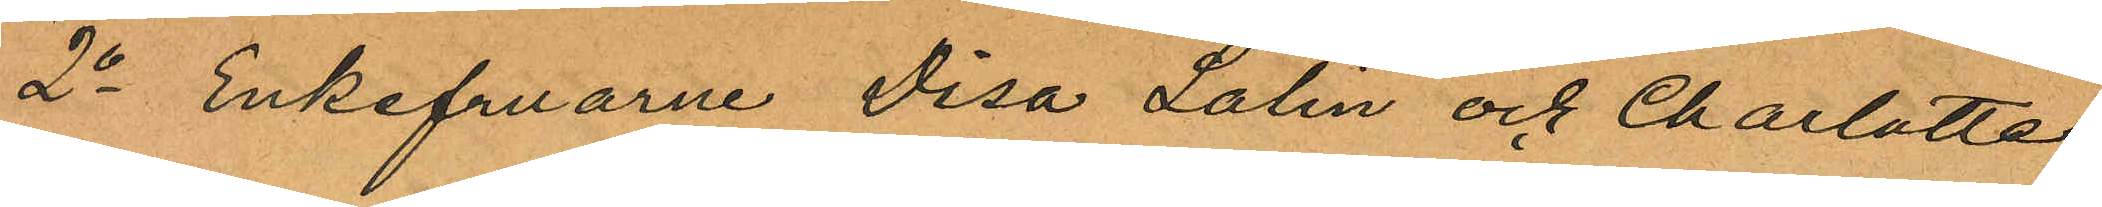2o Enkefruarne Disa Lalin och Charlotta
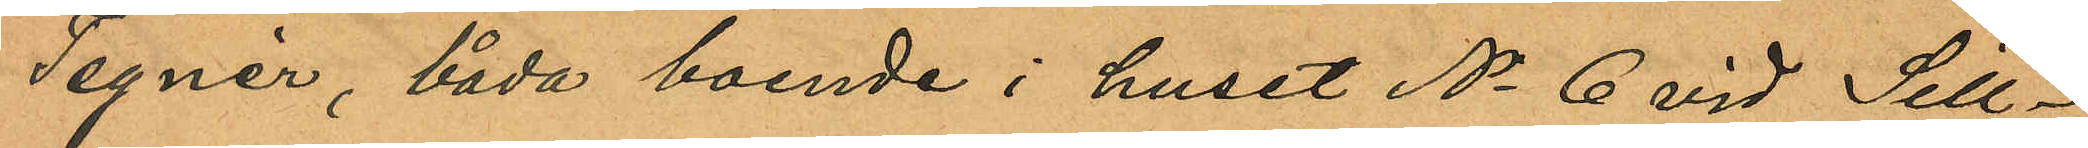Tegnér, båda boende i huset No 6 vid Sill¬
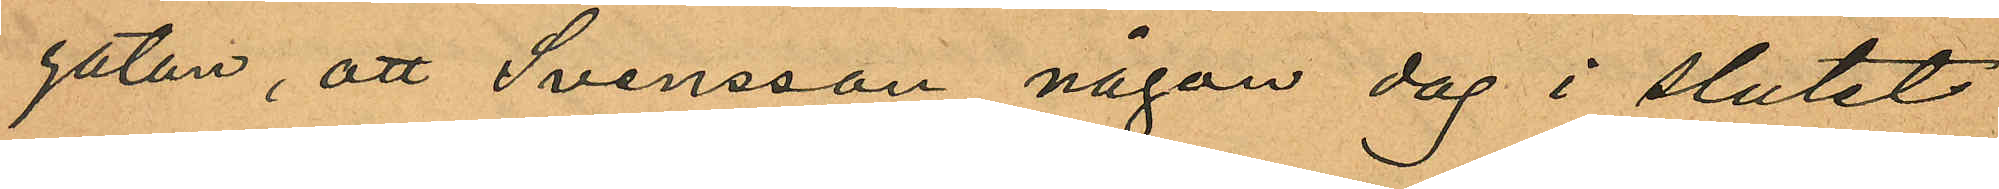gatan, att Svensson någon dag i slutet
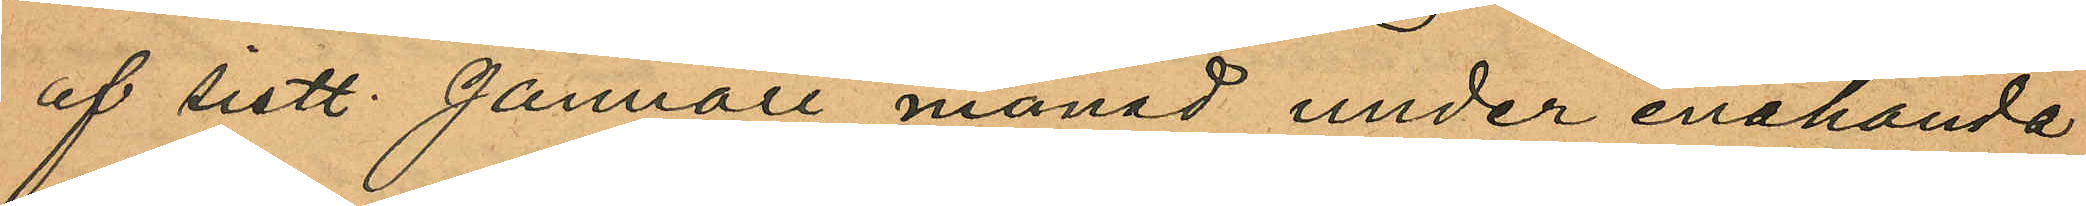af sistl. Januari månad under enahanda
